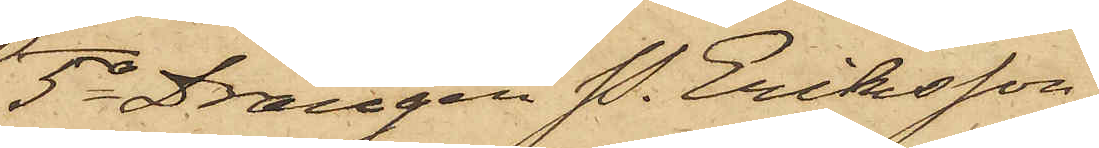5o Drängen P. Eriksson
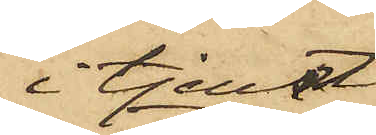i tjenst
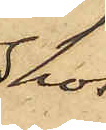hos
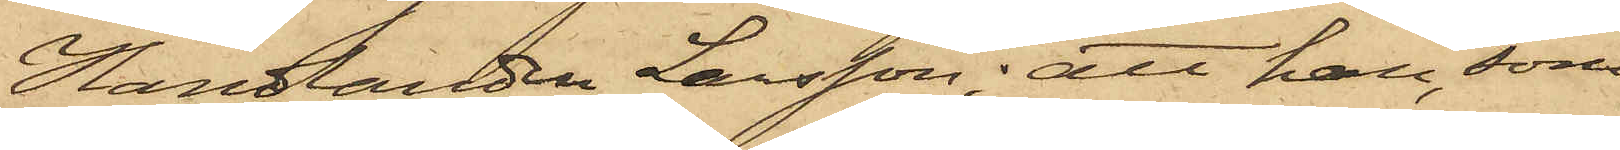Handlanden Larsson; att han, som
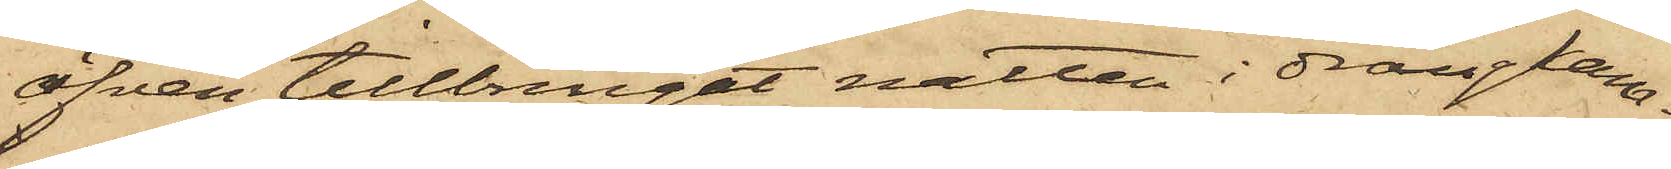äfven tillbringat natten i drängkam¬
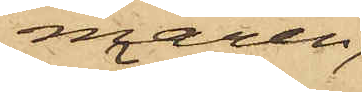maren,
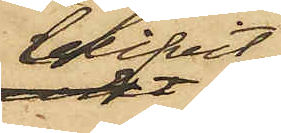blifvit
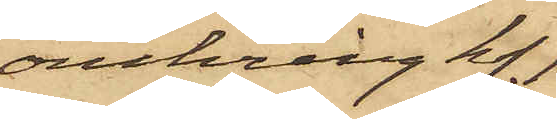omkring kl. 1
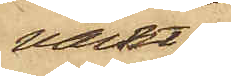väckt
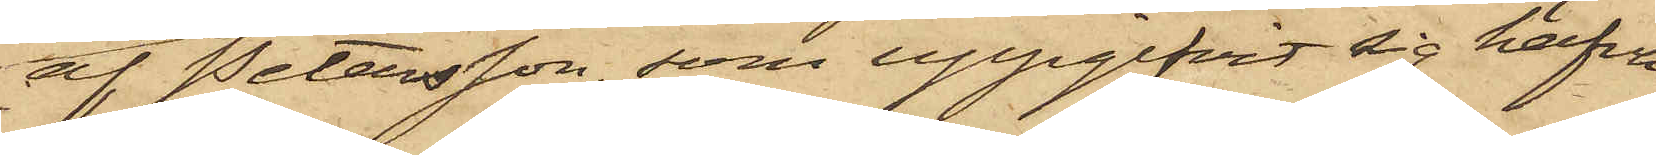af Petersson, som uppgifvit sig hafva
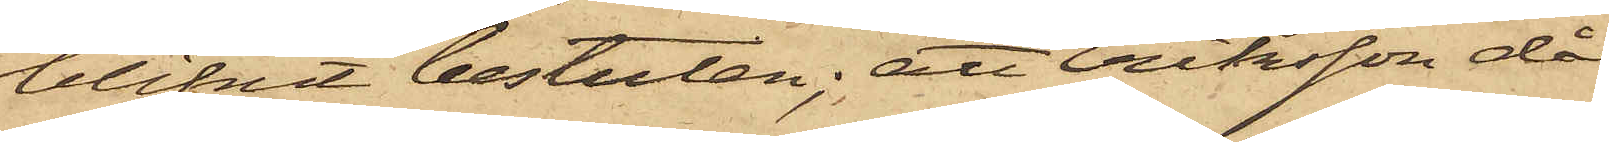blifvit bestulen; att Eriksson då
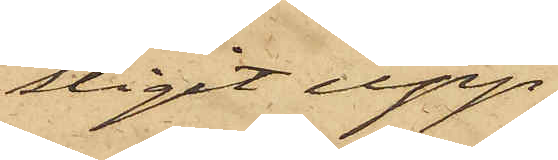stigit upp
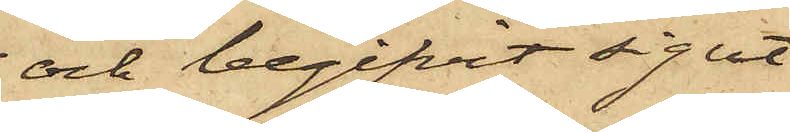och begifvit sig ut
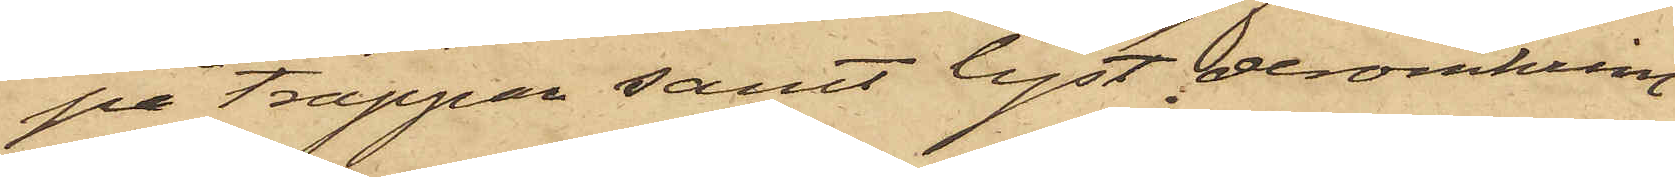på trappan samt lyst deromkring
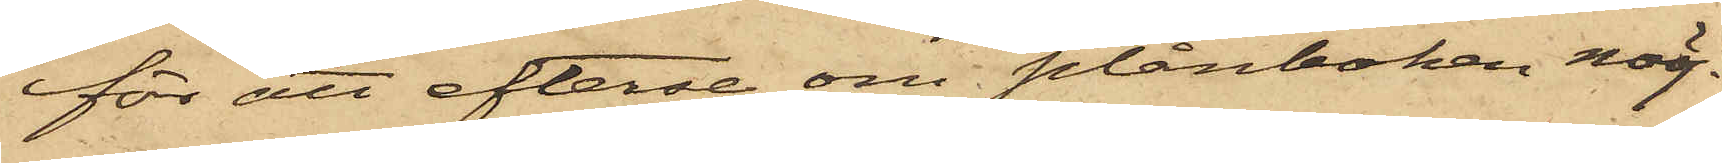för att efterse om plånboken möj¬
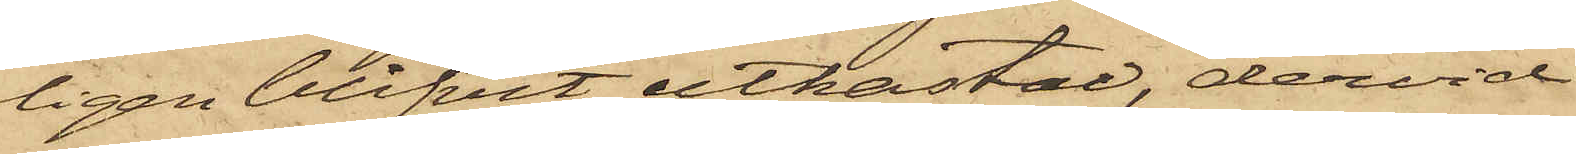ligen blifvit utkastad, dervid
